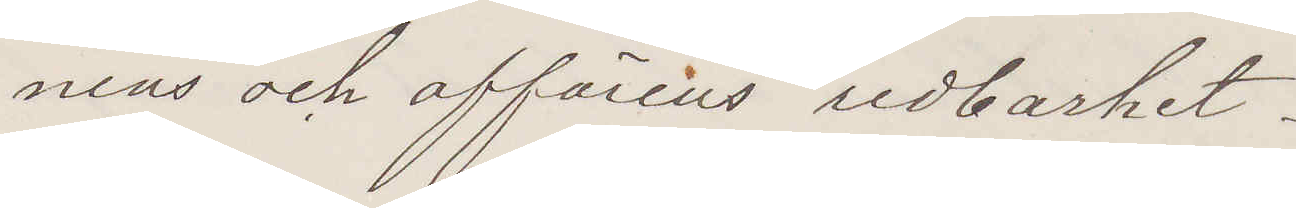nens och affärens redbarhet.
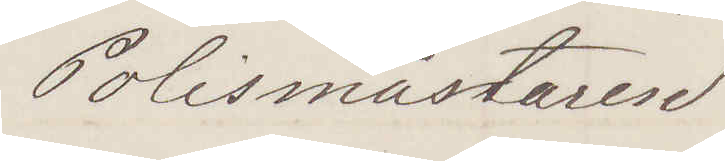Polismästaren
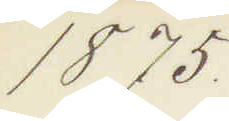1875.
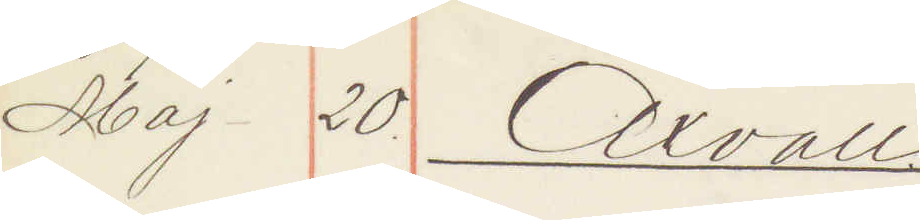Maj 20. Axvall.
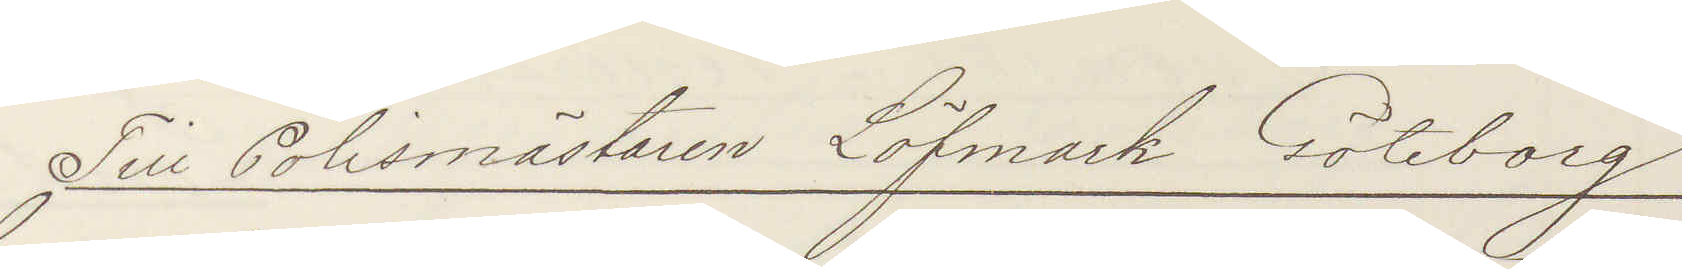Till Polismästaren Löfmark Göteborg
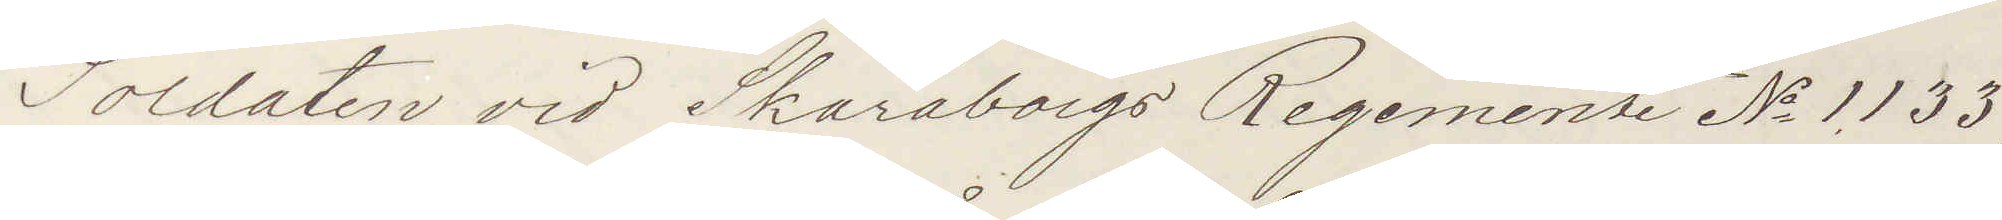Soldaten vid Skaraborgs Regemente No 1133
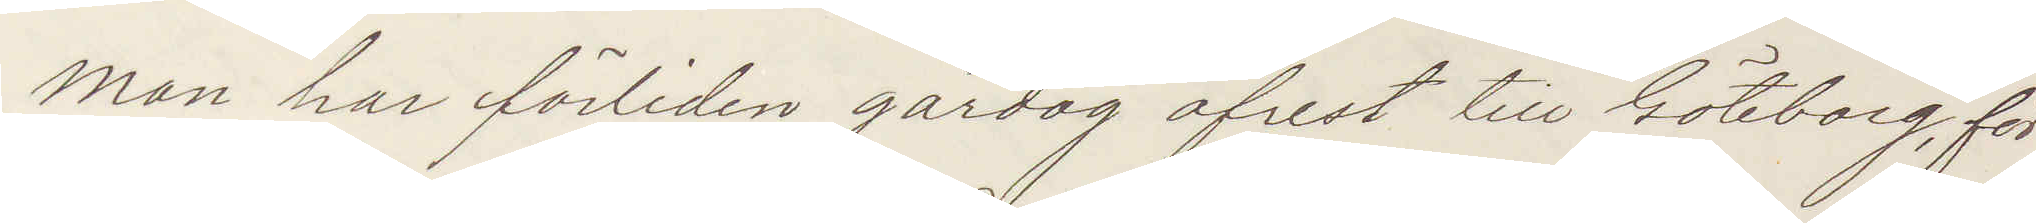Man har förliden gårdag afrest till Göteborg, för
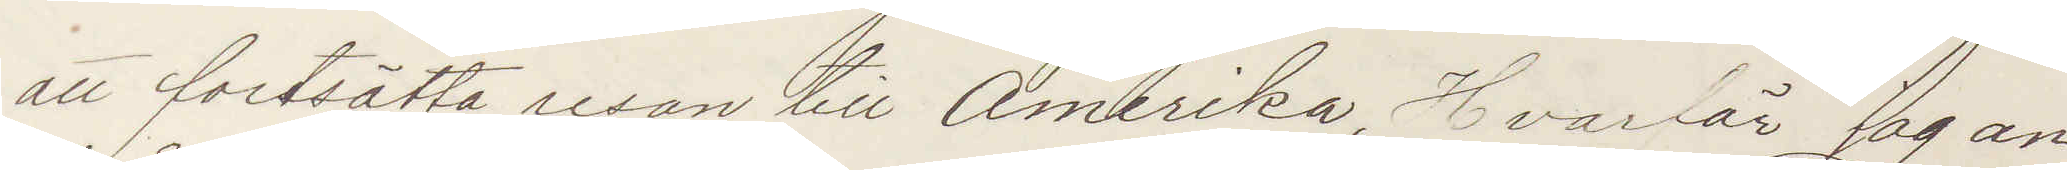att fortsätta resan till Amerika, Hvarför jag an¬
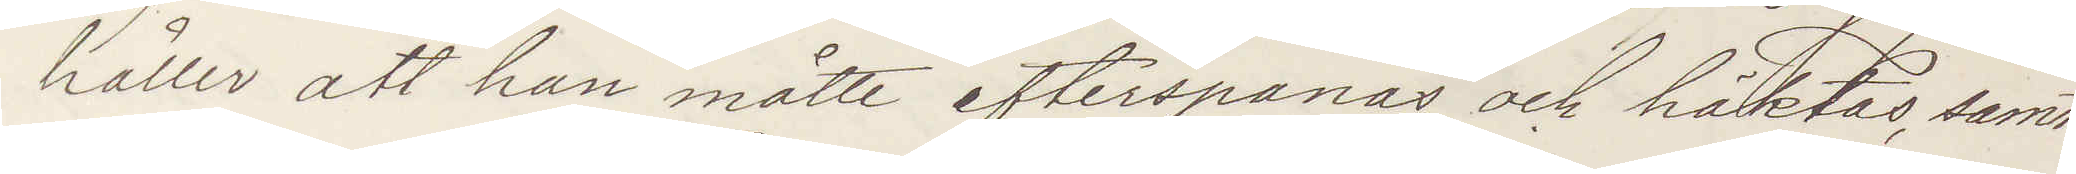håller att han måtte efterspanas och häktas, samt
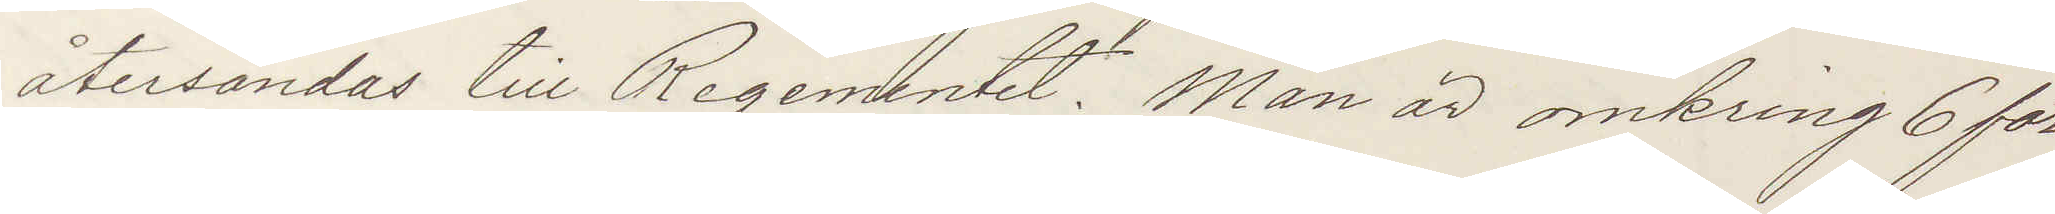återsändes till Regementet. Man är omkring 6 fot
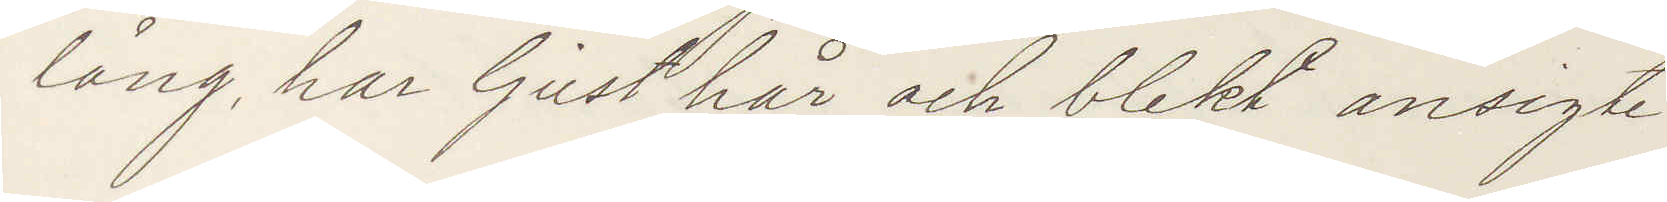lång, har ljust hår och blekt ansigte.
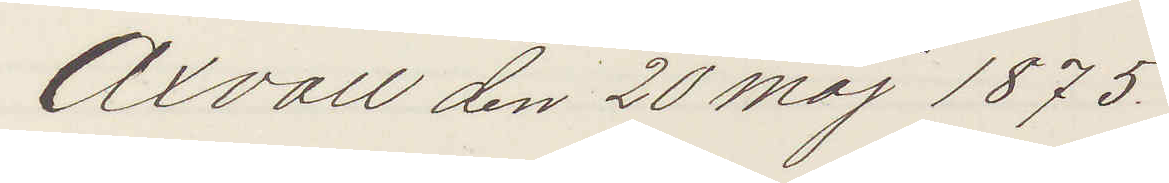Axvall den 20 Maj 1875.
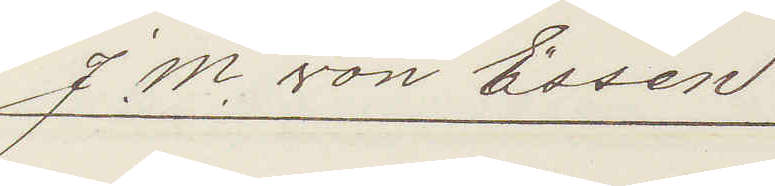J M von Essen
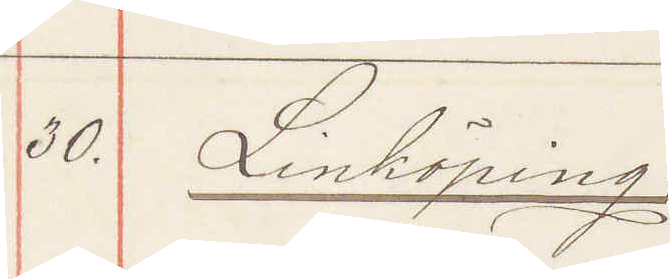30. Linköping:
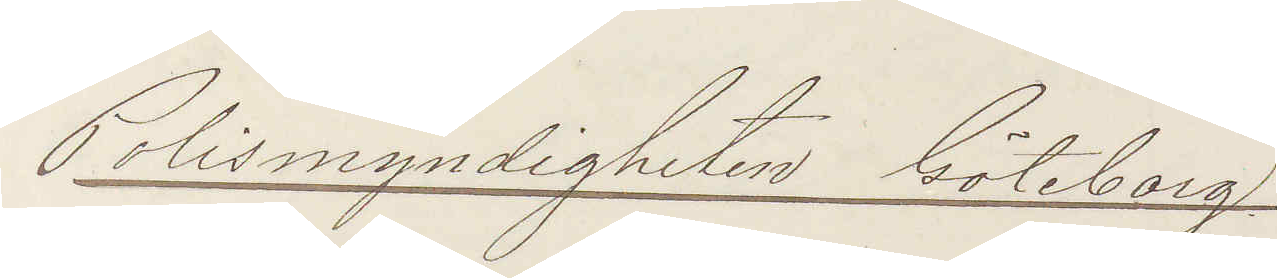Polismyndigheten Göteborg.
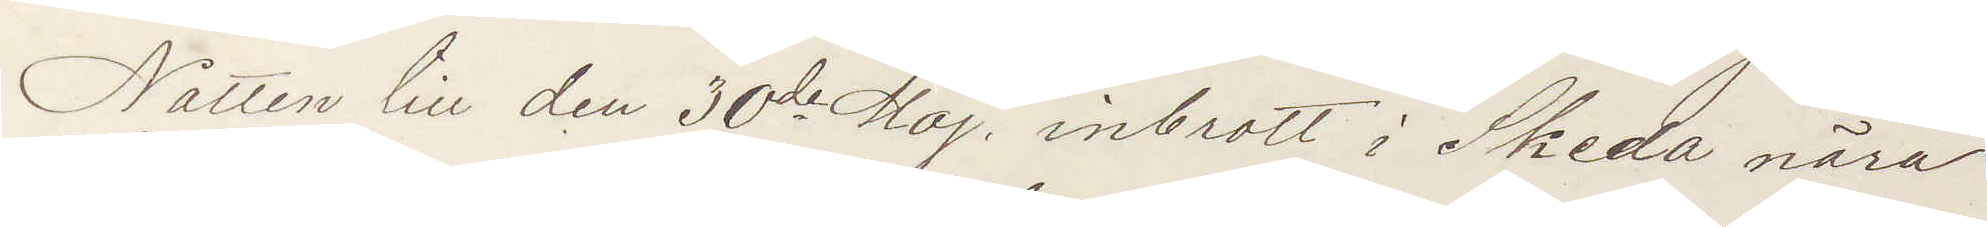Natten till den 30de Maj, inbrott i Skeda nära
